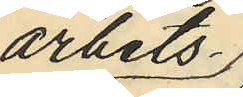arbets¬
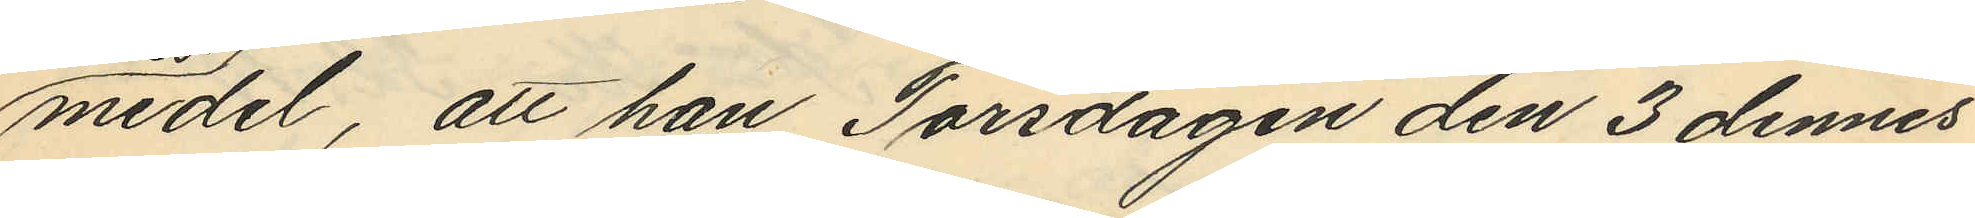medel, att han Torsdagen den 3 dennes
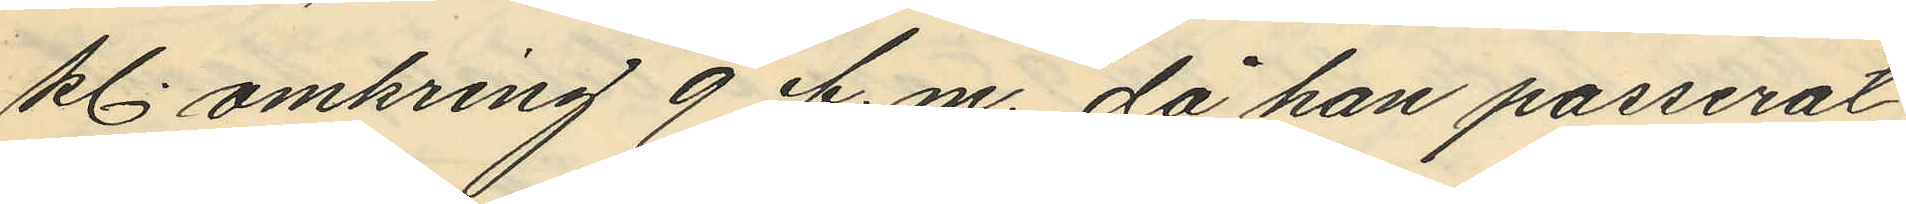kl. omkring 9 f.m. då han passerat
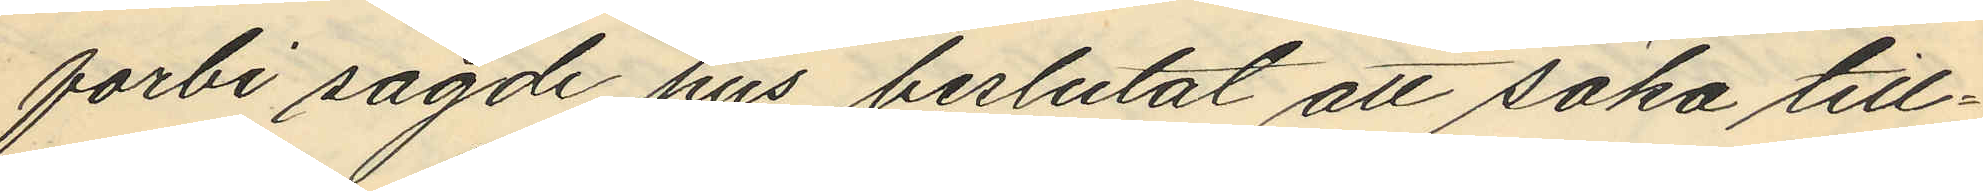forbi sagde hus beslutat att söka till¬
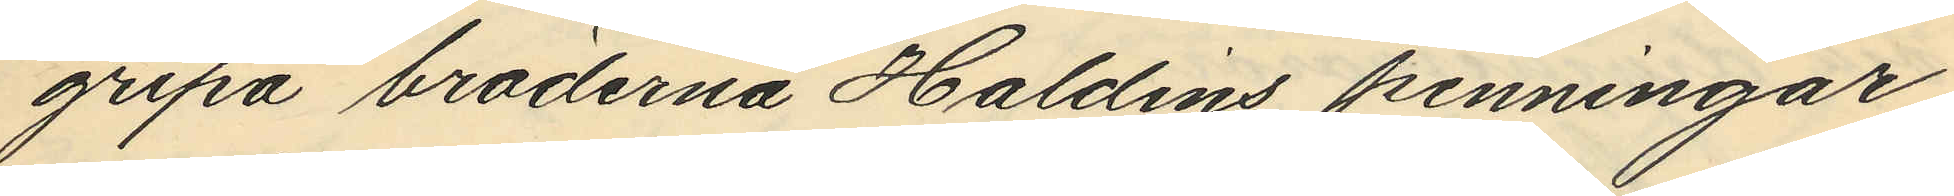gripa bröderna Haldins penningar
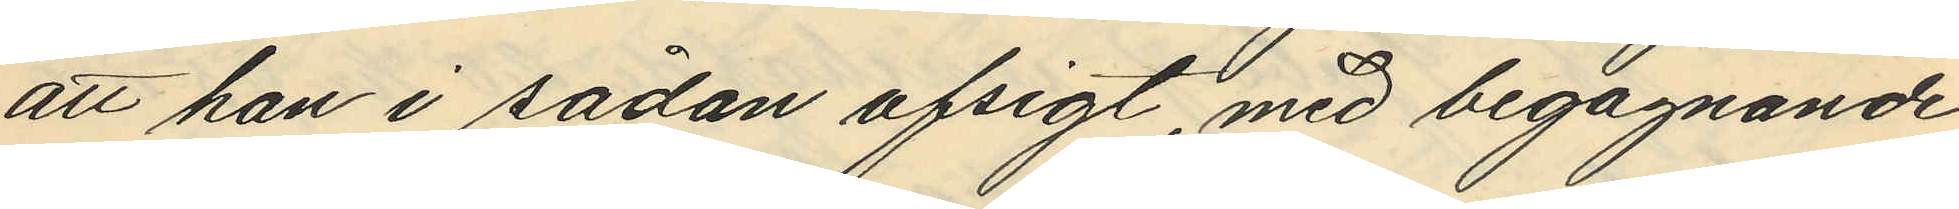att han i sådan afsigt, med begagnande
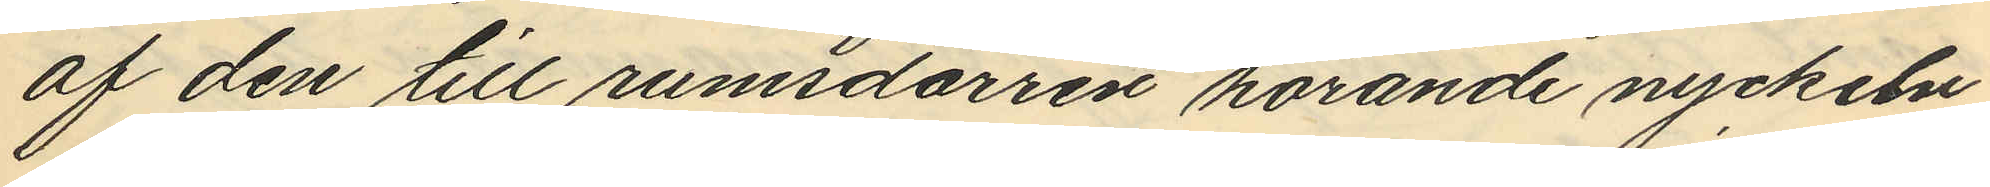af den till rumsdörren hörande nyckeln
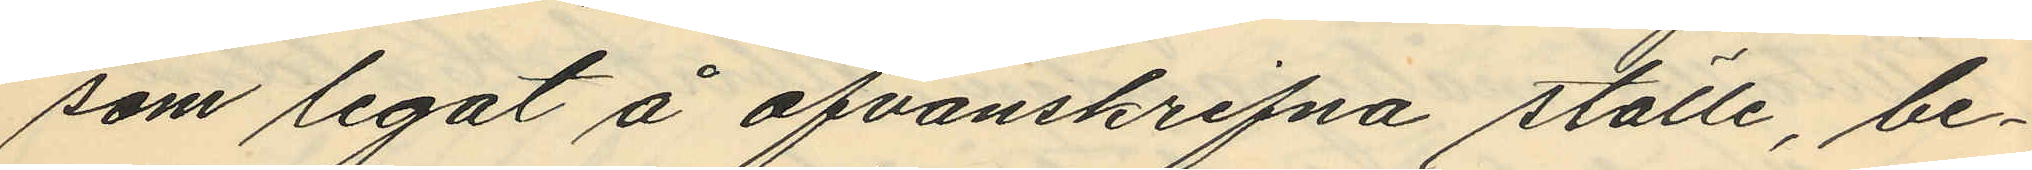som legat å ofvanskrifna ställe, be¬
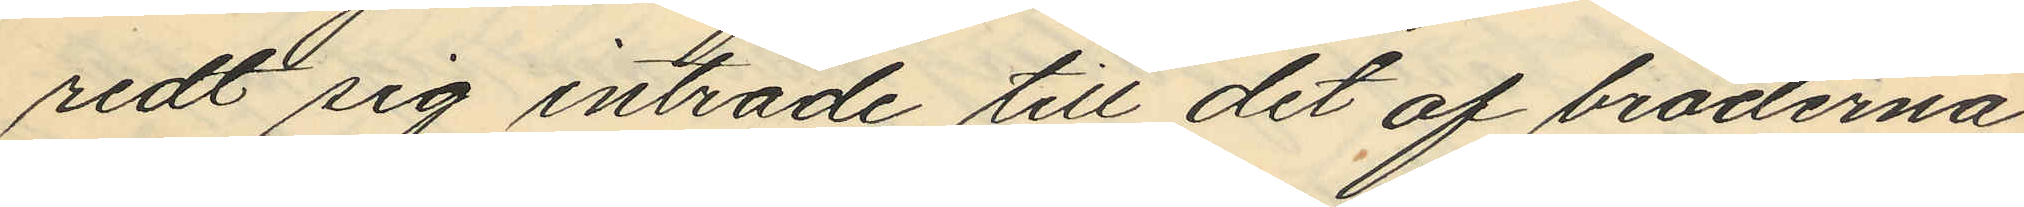redt sig inträde till det af bröderna
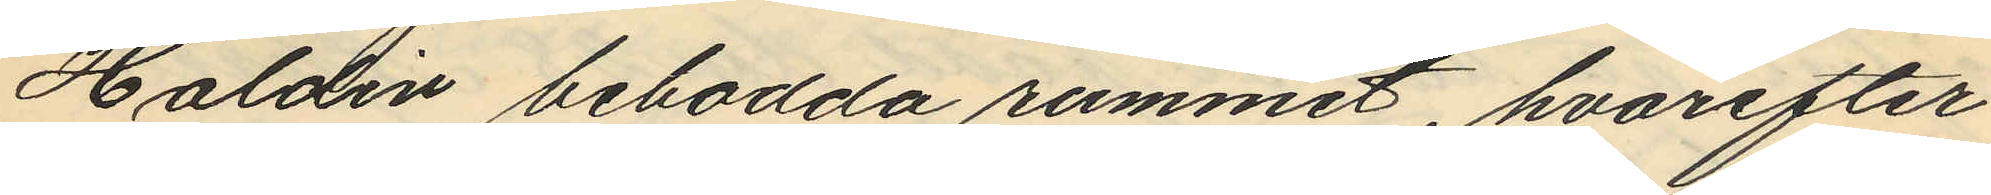Haldin bebodda rummet, hvarefter
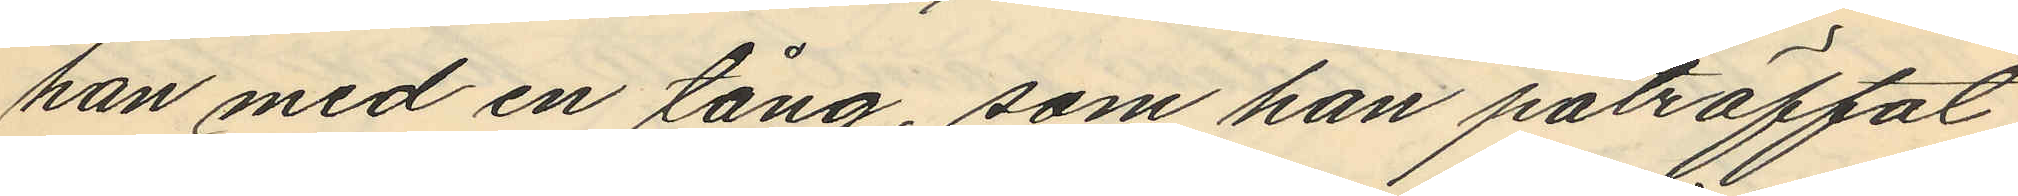han med en tång, som han påträffat
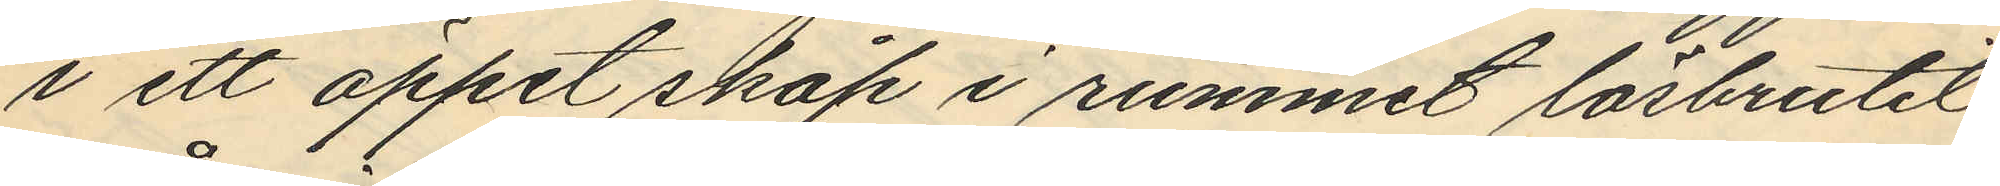i ett öppet skåp i rummet lösbrutit
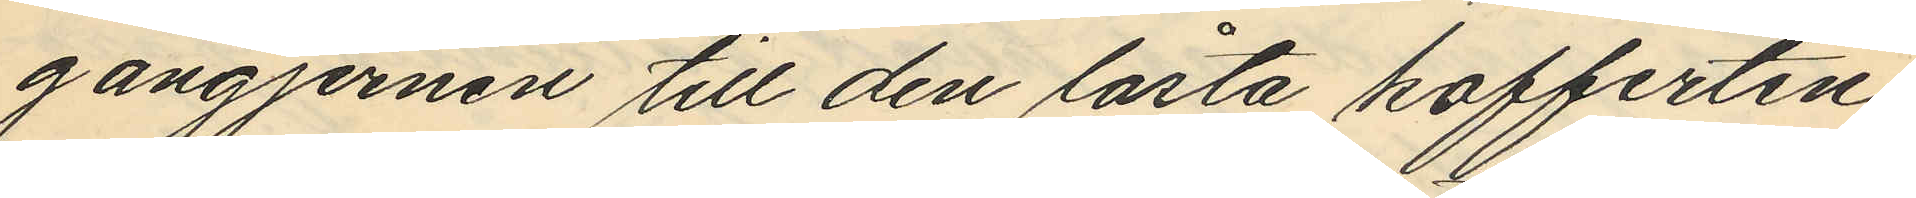gångjernen till den låsta kofferten
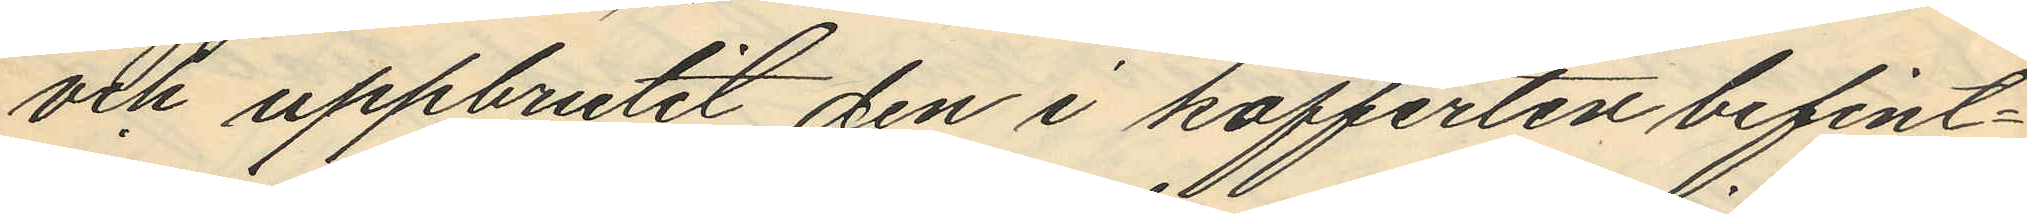och uppbrutit den i kofferten befint¬
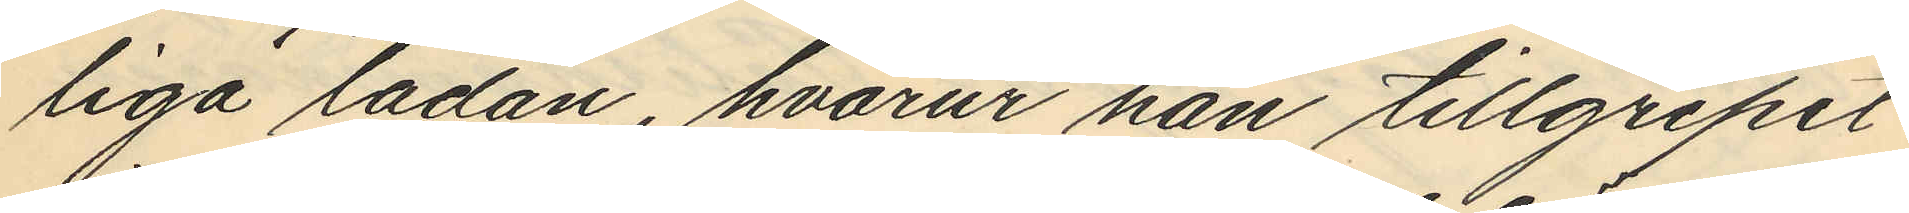liga lådan, hvarur han tillgripit
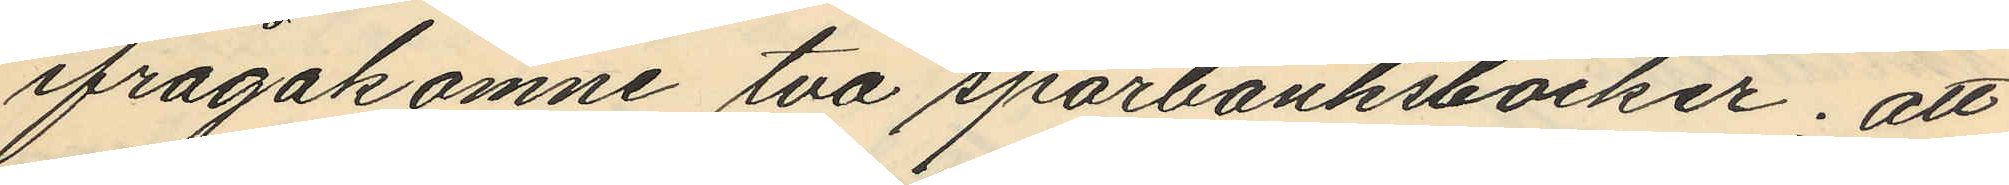ifrågakomne två sparbanksböcker; att
